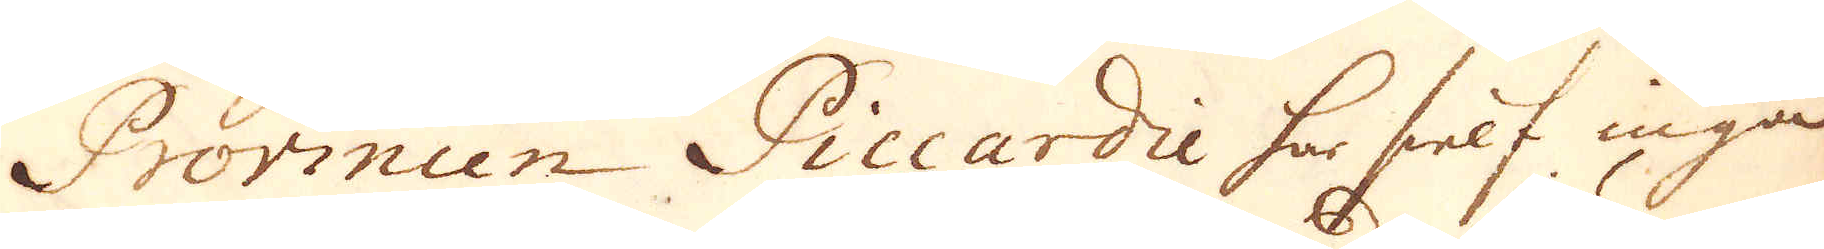Provincen Piccardie har sielf inga
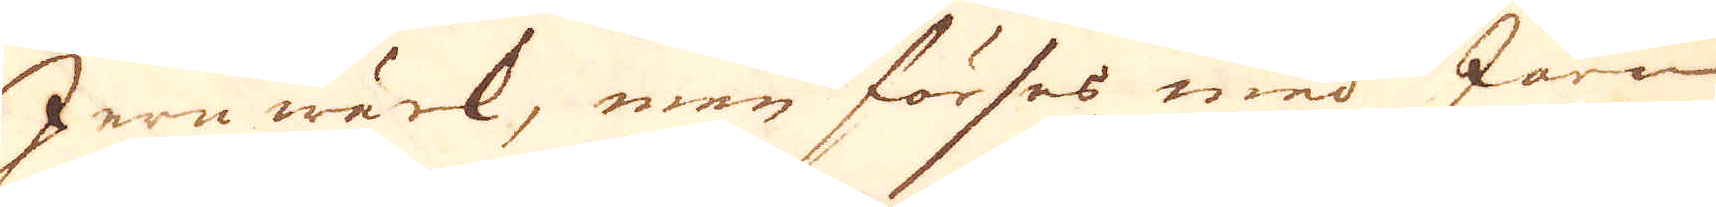Jernwärk, men förses med Järn
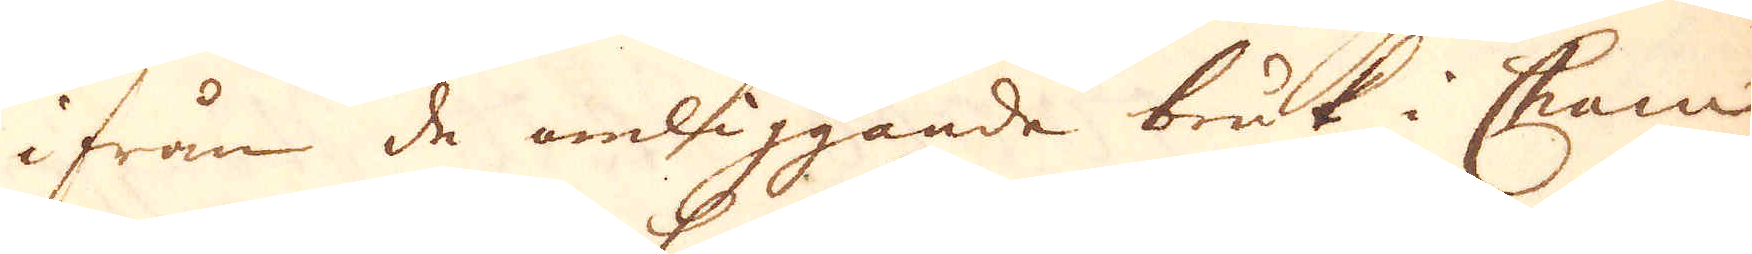ifrån de omliggande bruk i Cham-
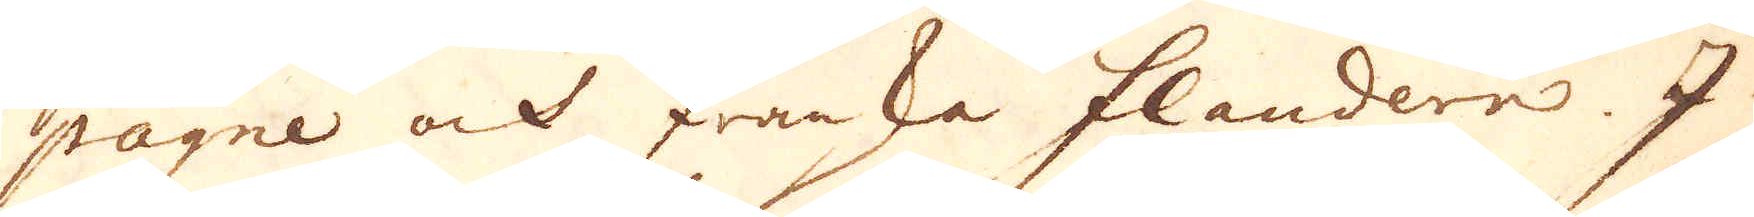pagne och Franska Flandern. I
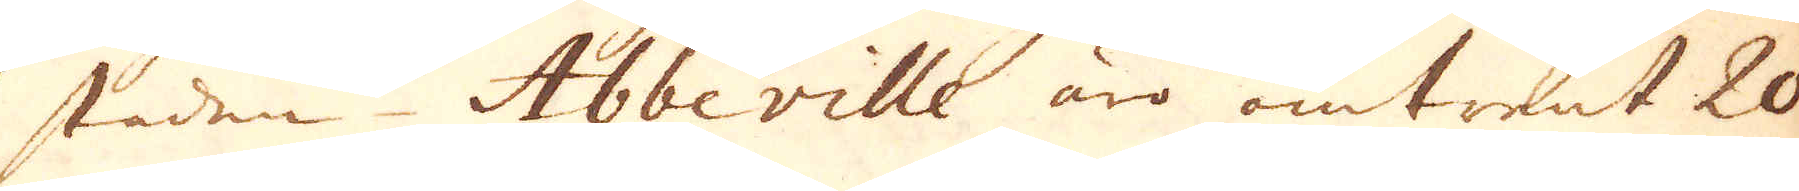staden Abbeville äro omtrent 20
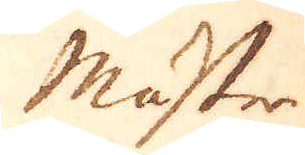mäster
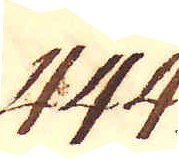444.
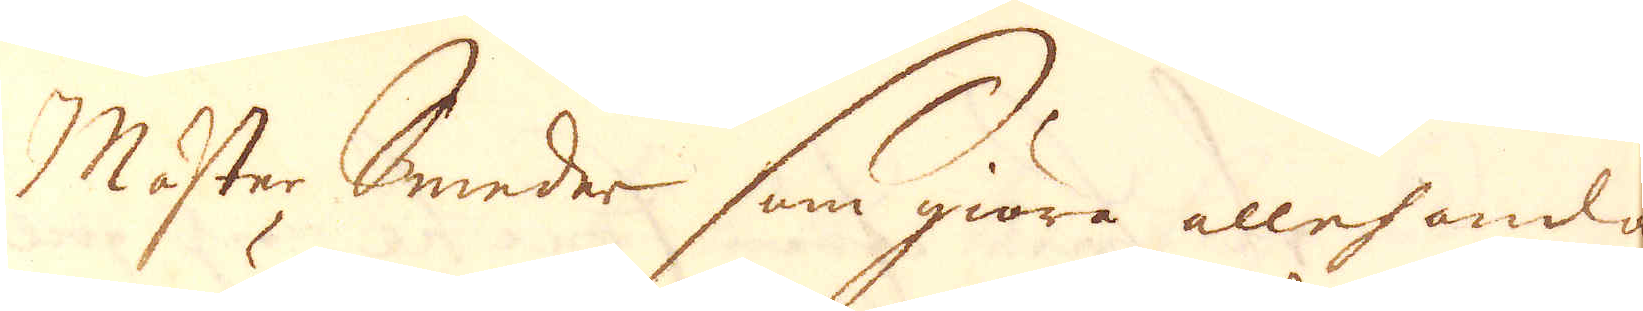Mäster Smeder som giöra allehanda
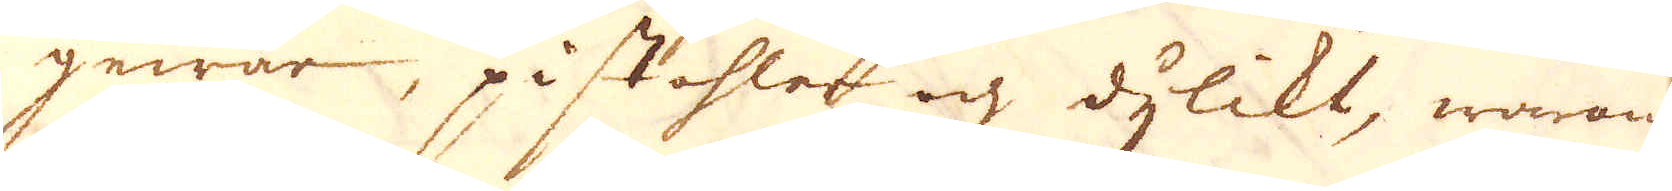gewär, pistohler och dylikt, warandes
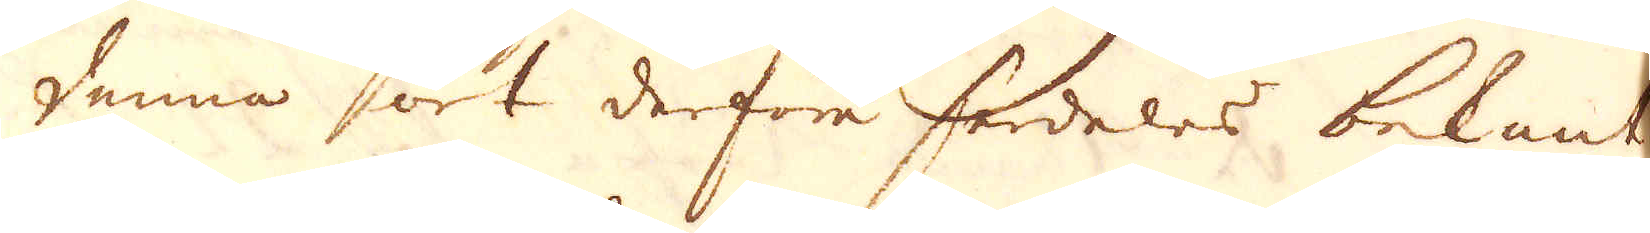denna ort derföre serdeles bekant.
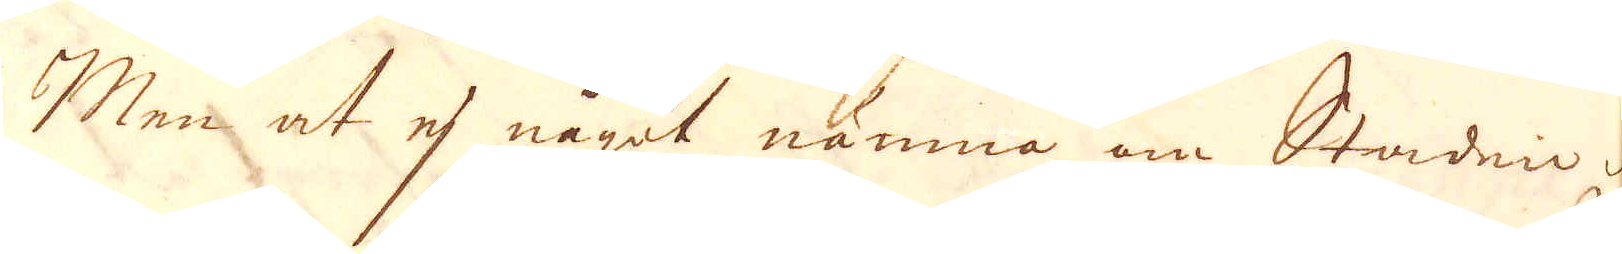Men at ej något nämna om Staden Rou-
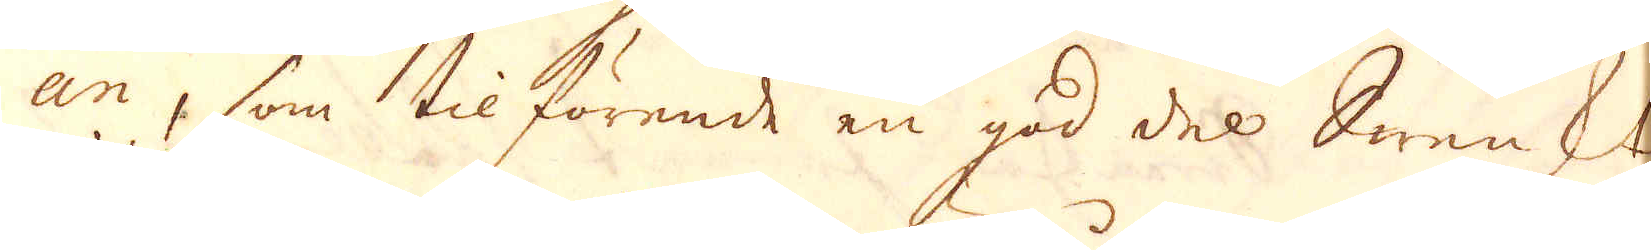an, som tilförende en god del Swenskt
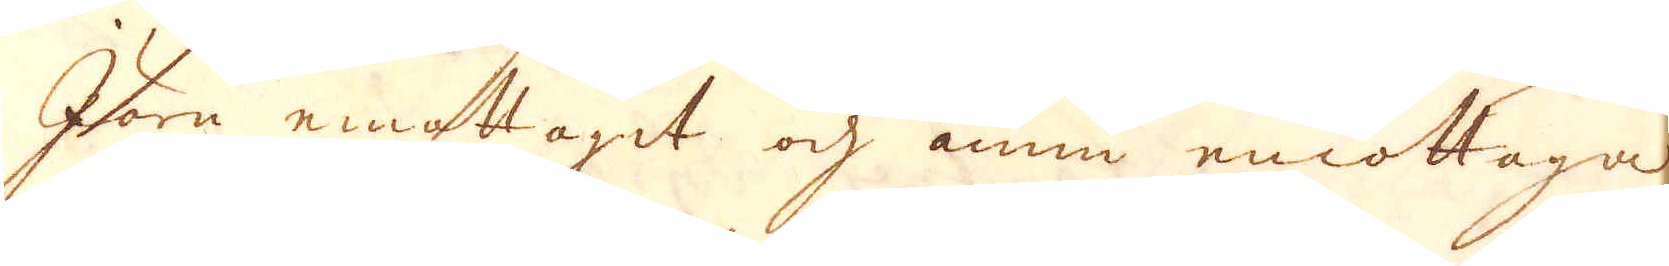Järn emottagit och ännu emottaga
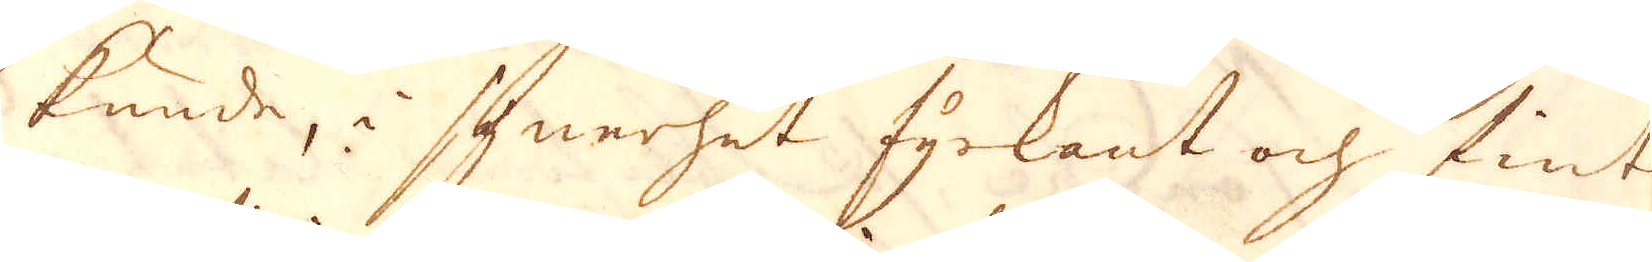kunde, i synerhet fyrkant och fint
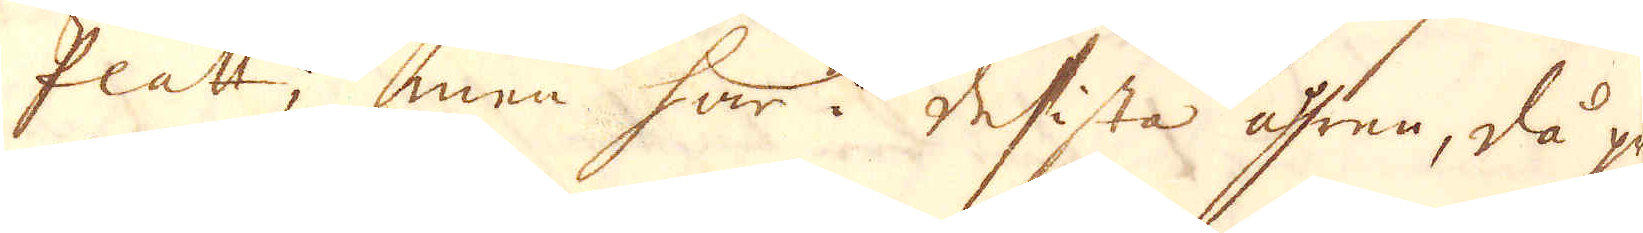Platt, men har i desista åhren, då pri-
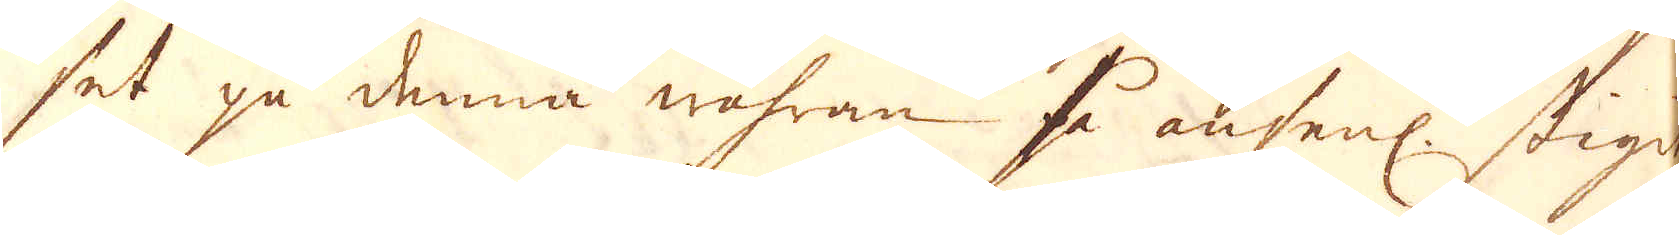set på denna wahran så ansenl. stigit,
